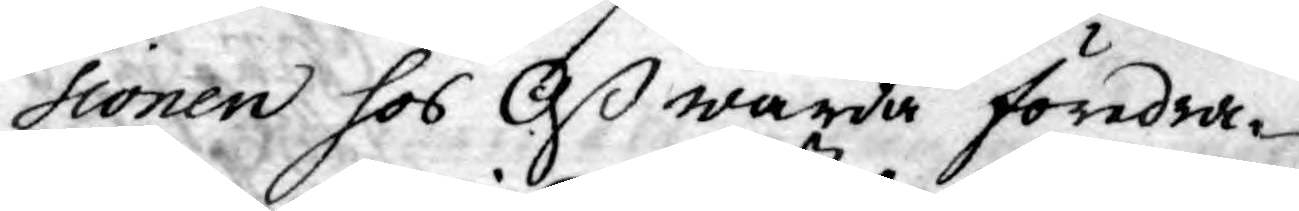sionen hos Oß warda föredra¬
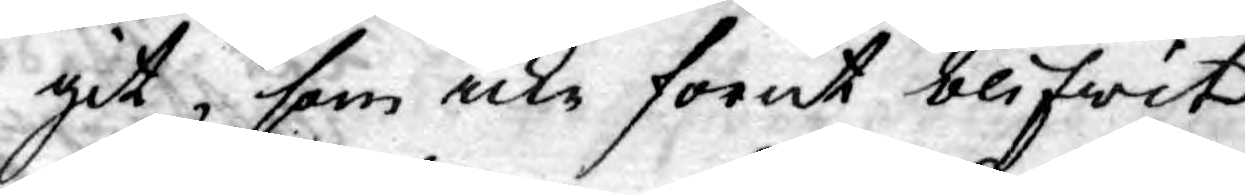git, som icke förut blifwit
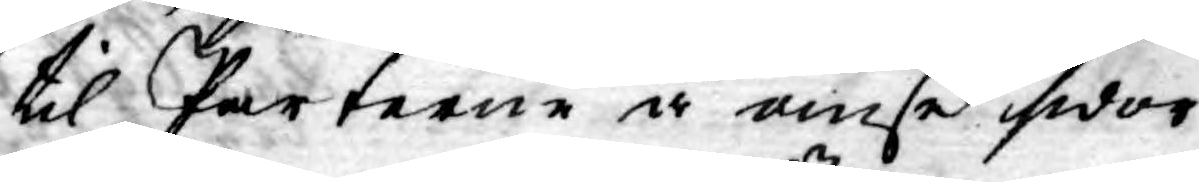til Parterne å ömse sidor
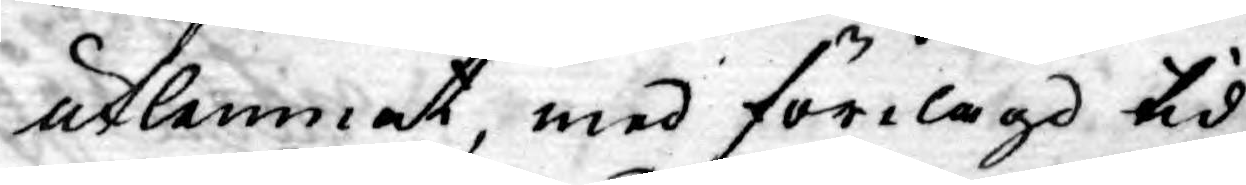utlemnat, med förelagd tid
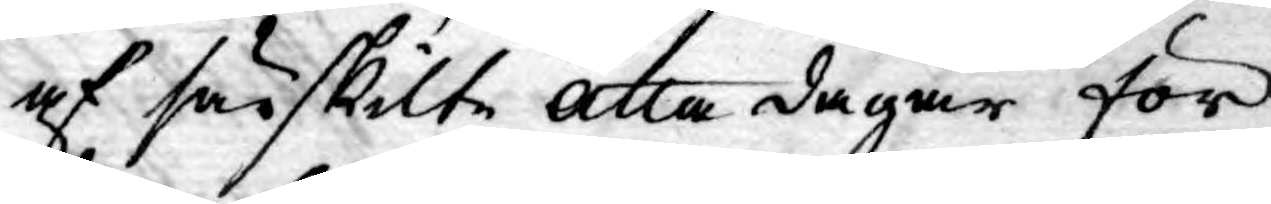af särskilte åtta dagar för
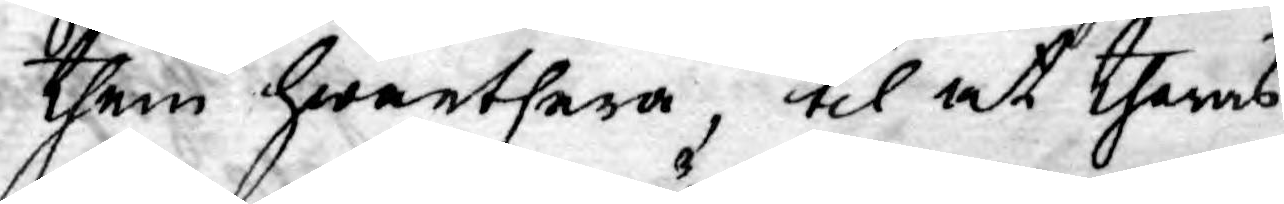them hwarthera, til at theras
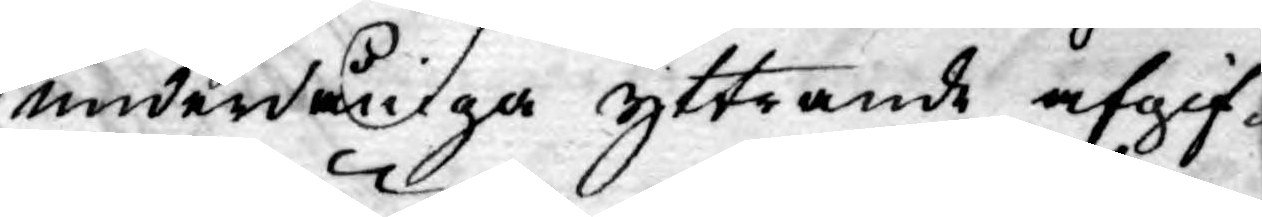underdåniga yttrande afgif¬
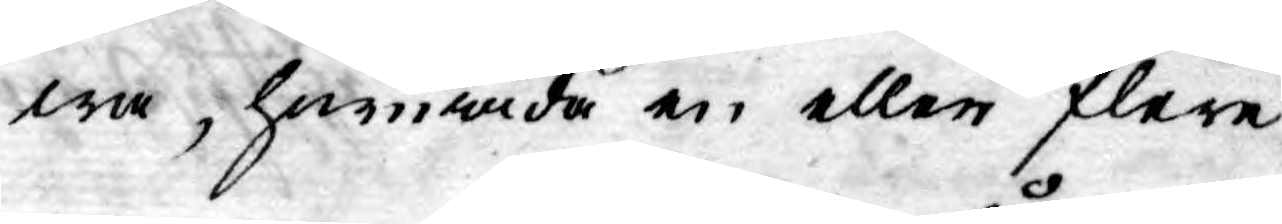wa, huruwida en eller flere
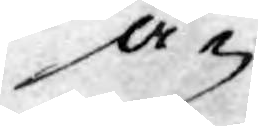å¬
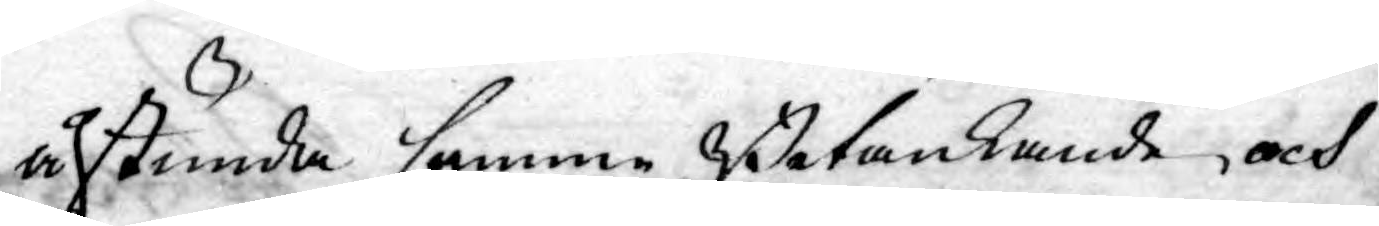åstunda samme Betänkande och
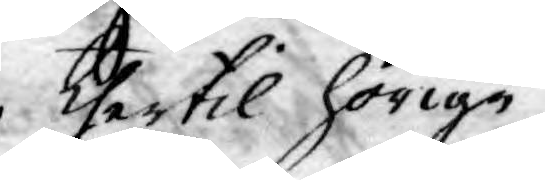thertil hörige
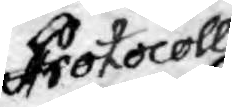Protocoll
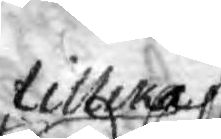tillika
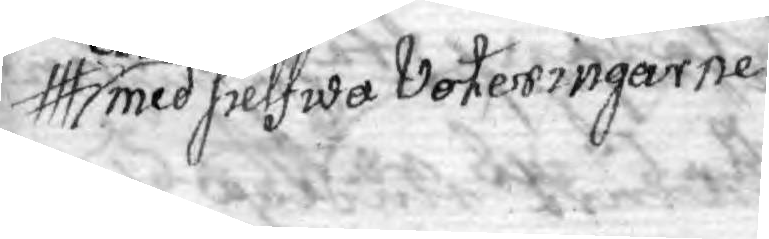med sielfwa Voteringarne
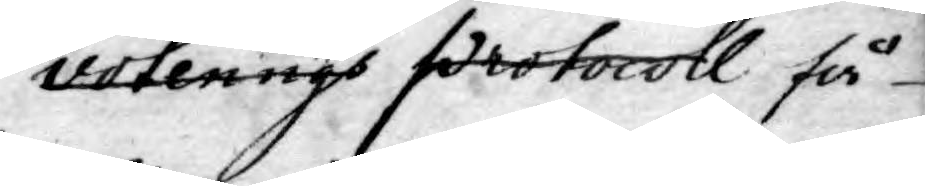voterings Protocoll få
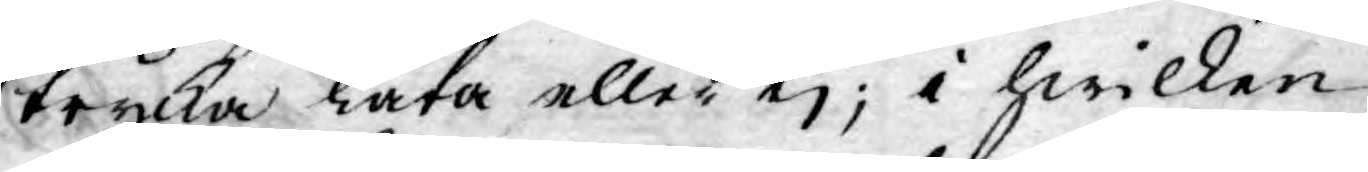trycka låta eller ej; i hwilken
